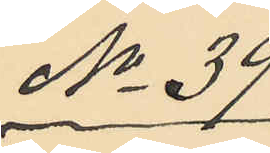No 39
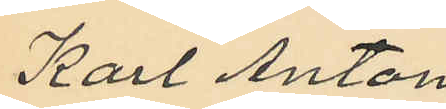Karl Anton
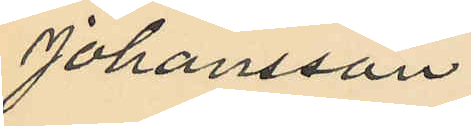Johansson.
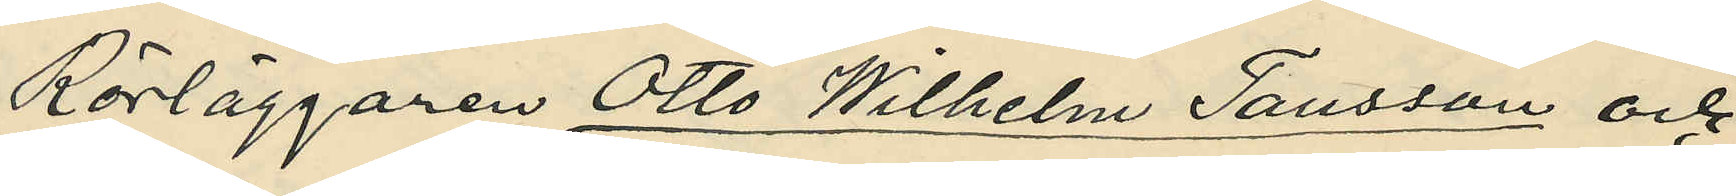Rörläggaren Otto Wilhelm Tausson och          
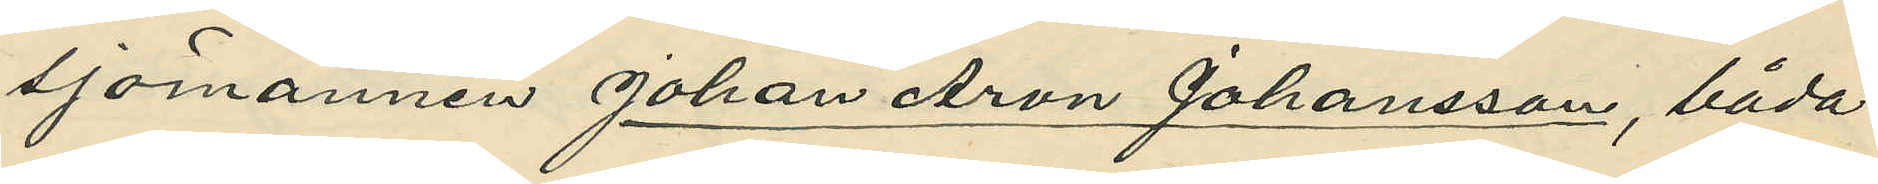sjömanen Johan Arvid Johansson, båda
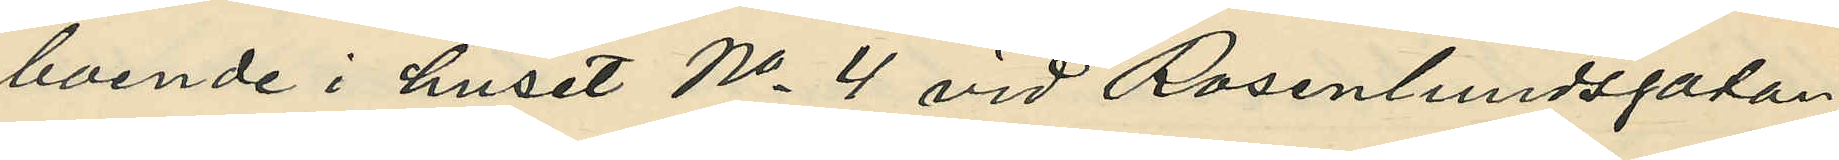boende i huset No 4 vid Rosenlundsgatan,
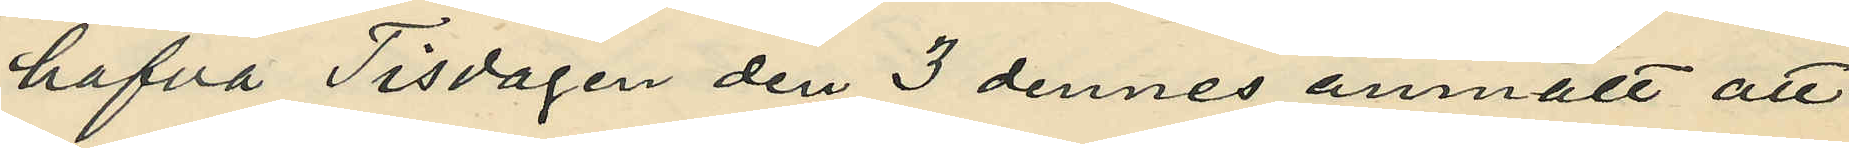hafva Tisdagen den 3 dennes anmält att 
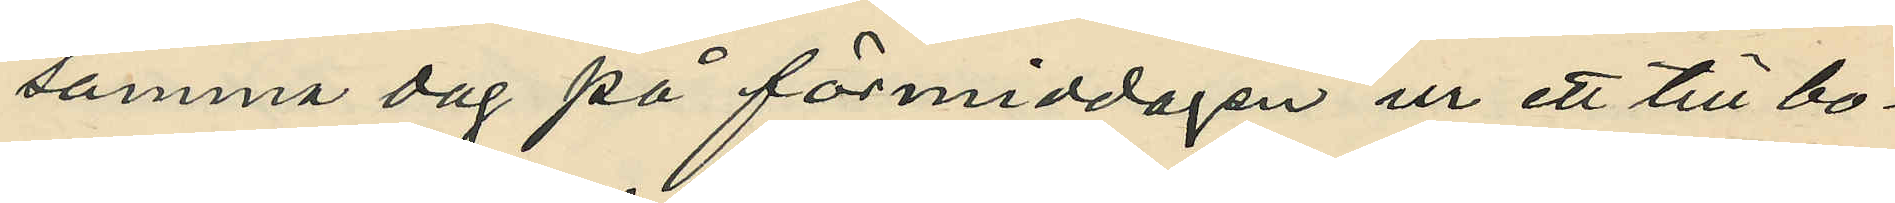samma dag på förmiddagen ur ett till bo¬
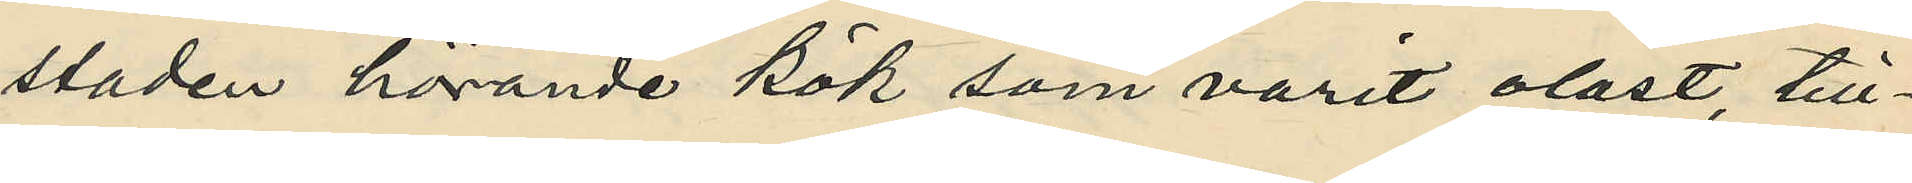staden hörande kök, som varit olåst, till¬
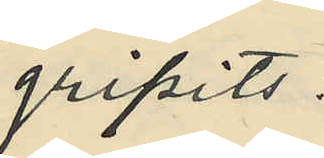gripits:
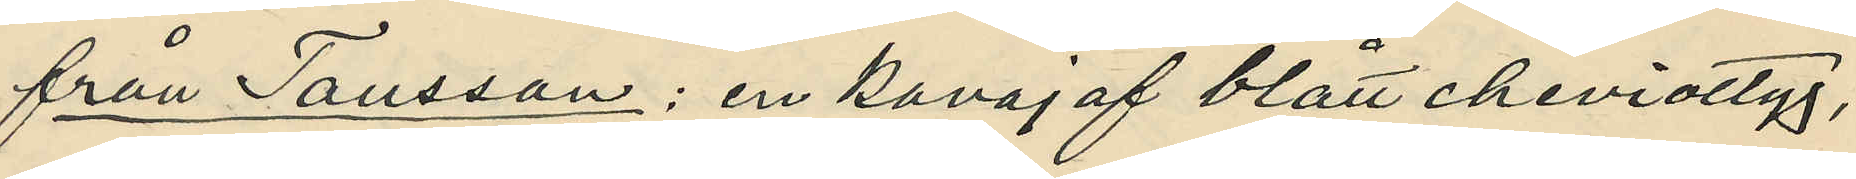från Tausson: en kavaj af blått cheviottyg,
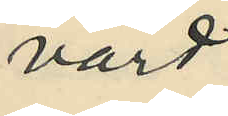värd
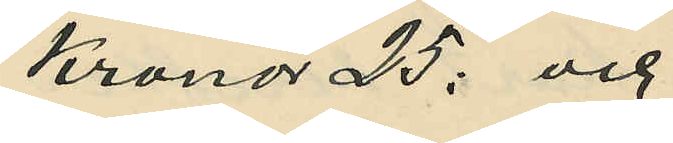Kronor 25: och
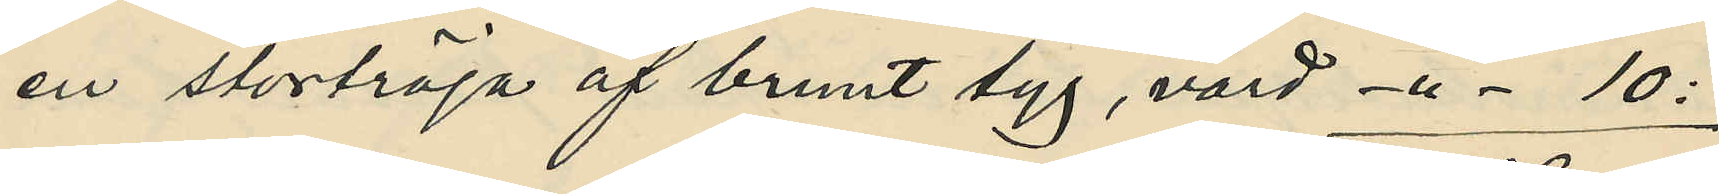en stortröja af brunt tyg, värd -"- 10:
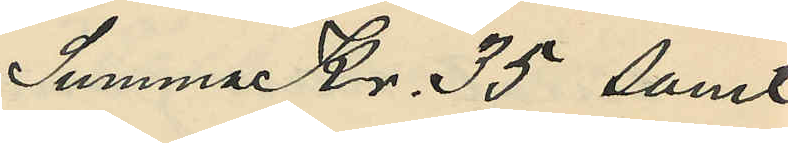Summa Kr. 35 samt
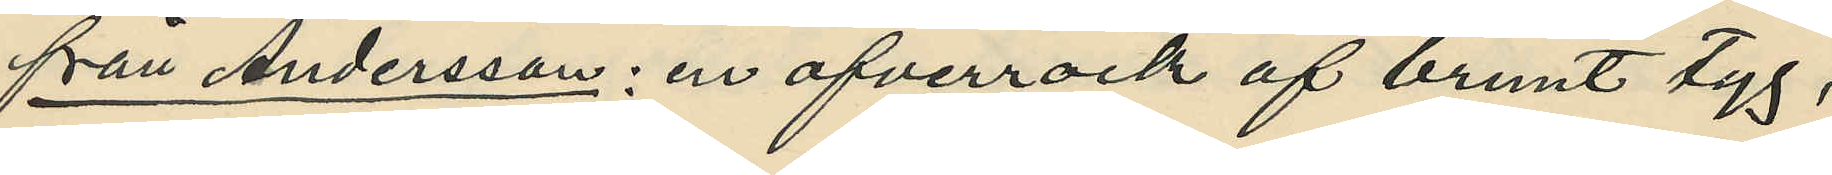från Anderson: en ofverrock af brunt tyg,
